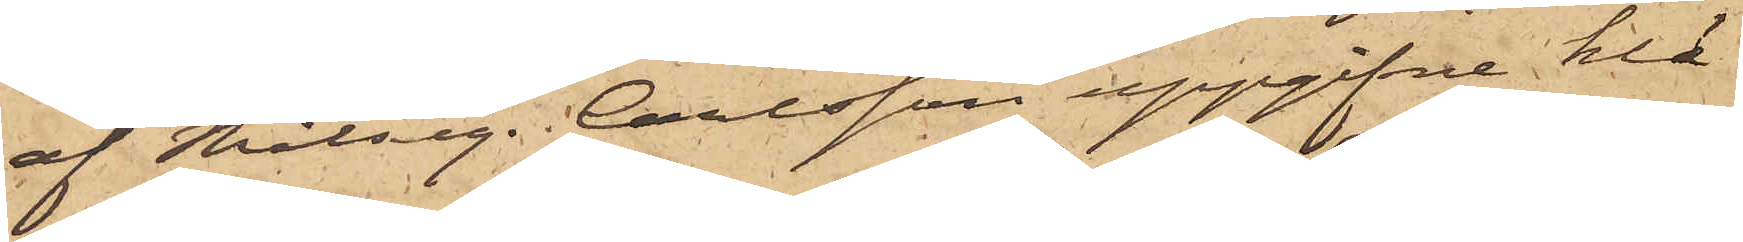af Målseg. Carlsson uppgifne klä¬
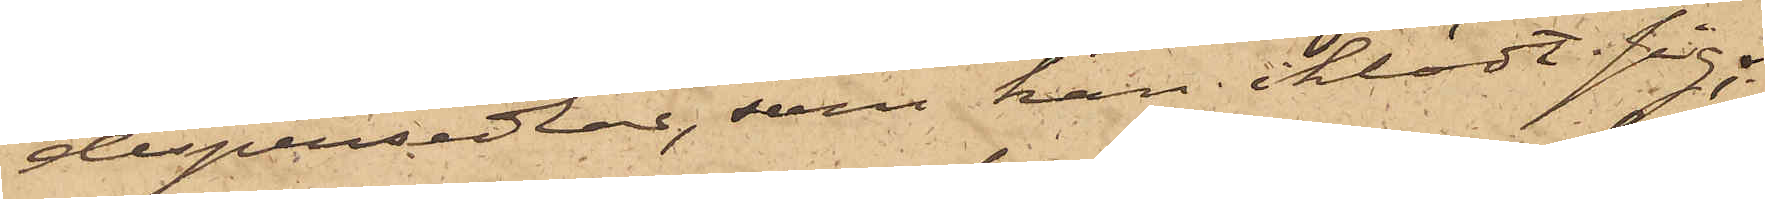despersedlar, som han iklädt sig;
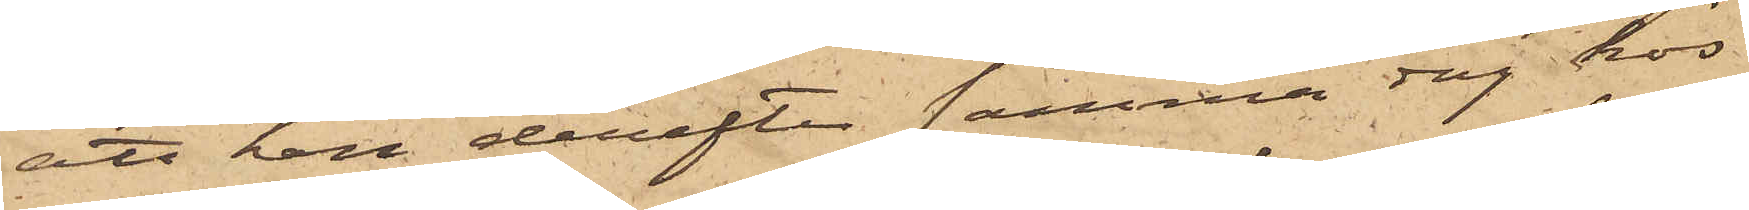att han derefter samma dag hos
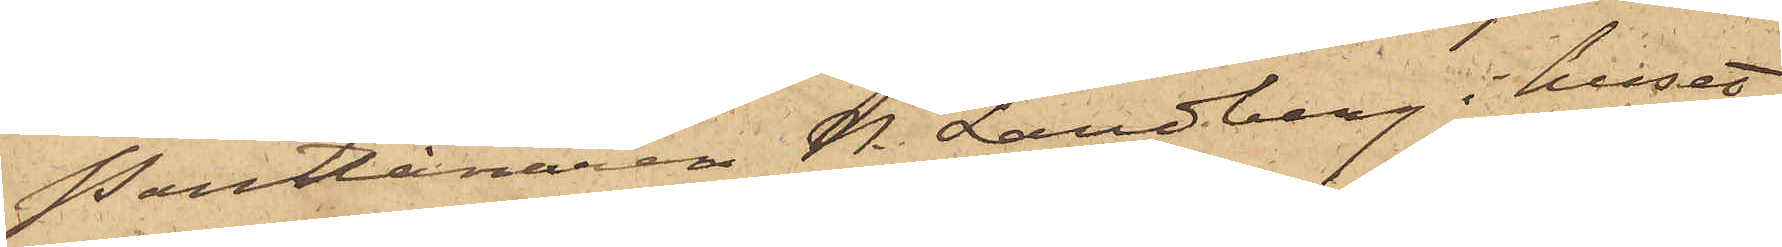Pantlånaren H. Landberg i huset
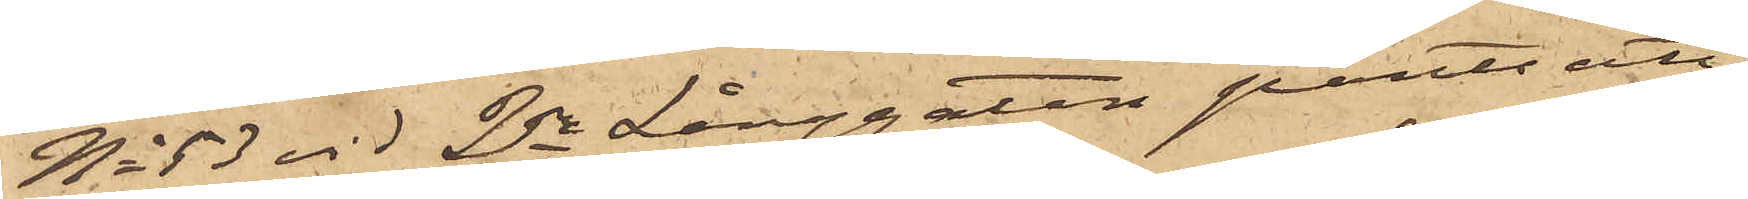No 53 vid 2dra Långgatan pantsatt
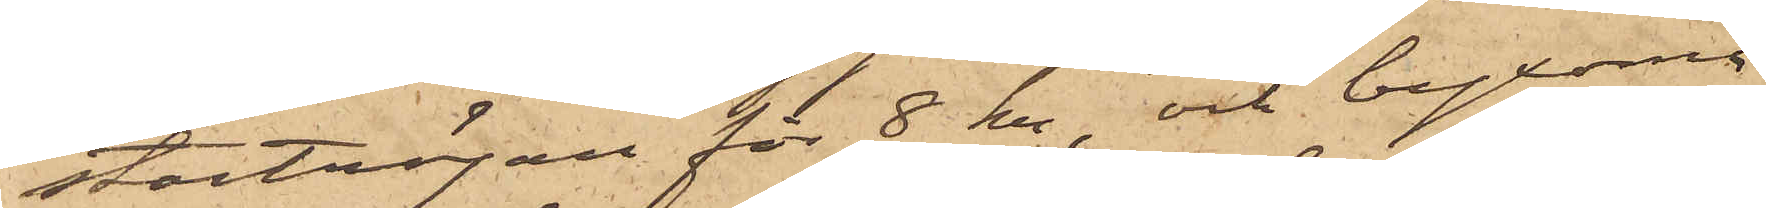stortröjan för 8 Kr, och byxorna
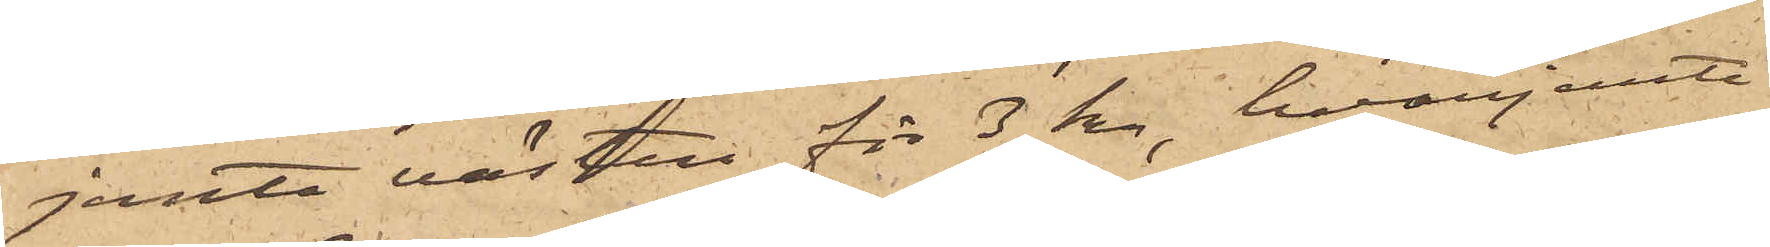jemte västen för 3 Kr, hvarjemte
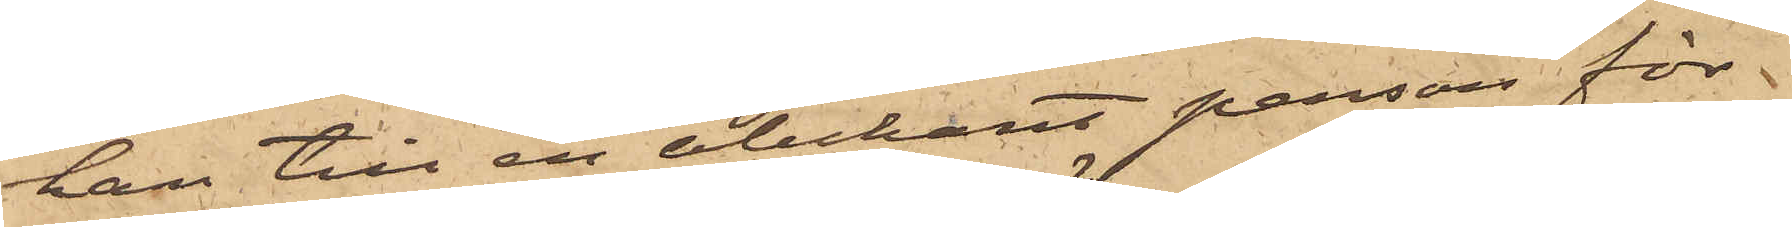han till en obekant person för
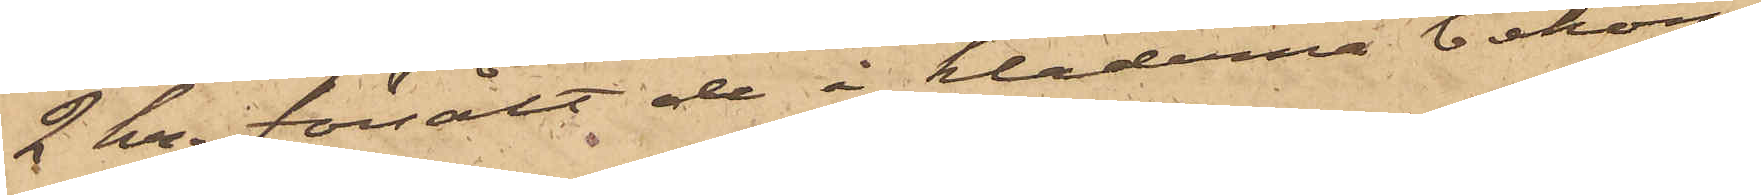2 Kr. försålt de å kläderna bekom¬
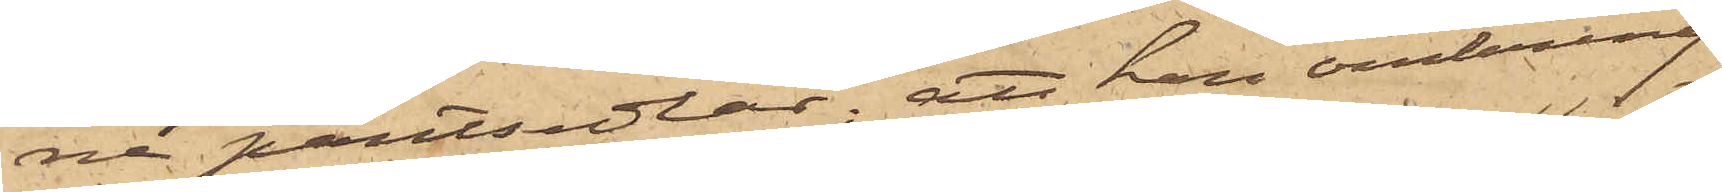ne pantsedlar; att han omkring
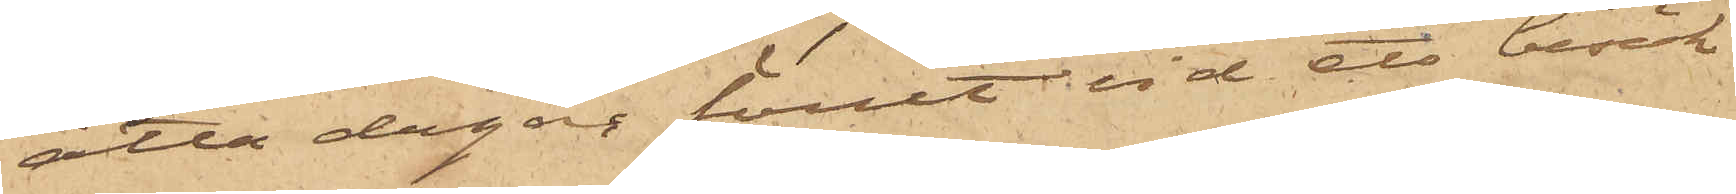åtta dagar förut vid ett besök
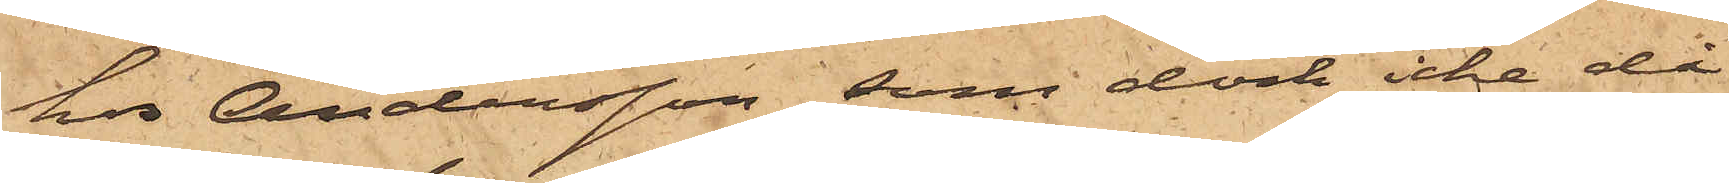hos Andersson, som dock icke då
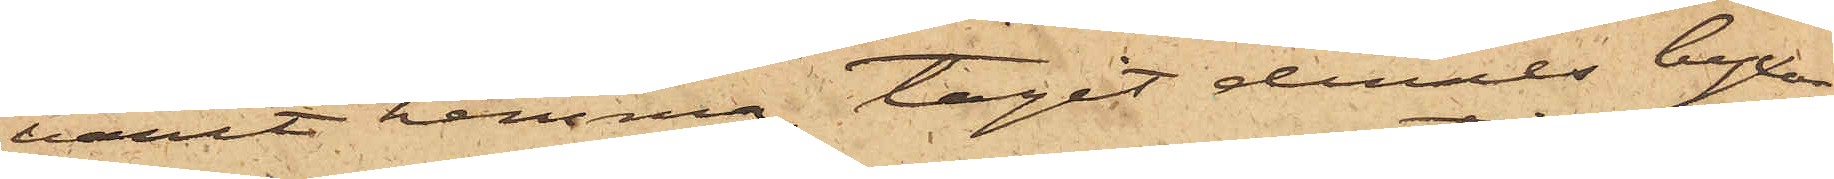varit hemma, tagit dennes byxor,
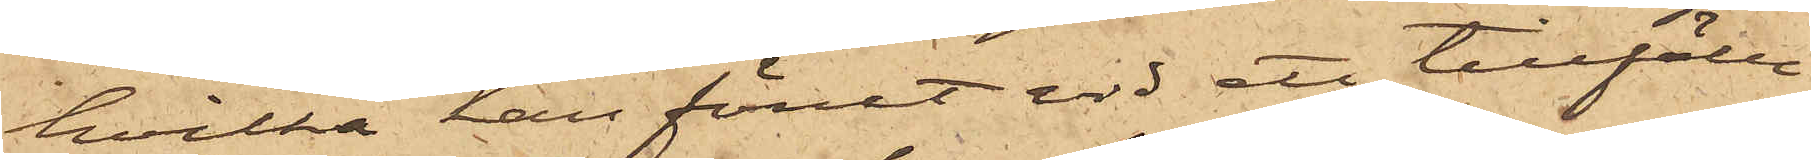hvilka han förut vid ett tillfälle
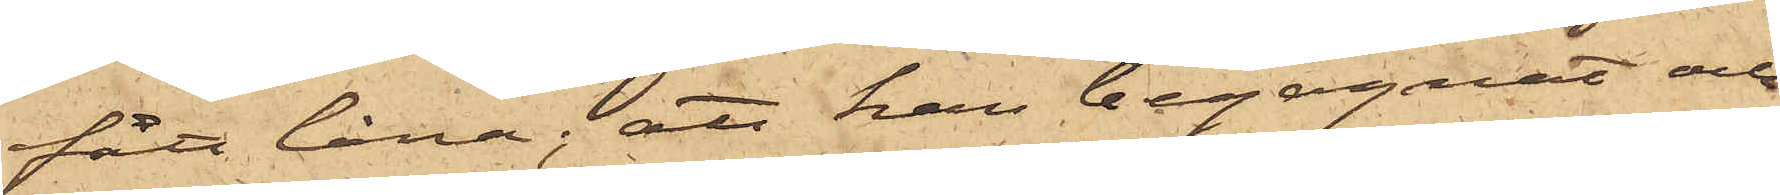fått låna; att han begagnat och
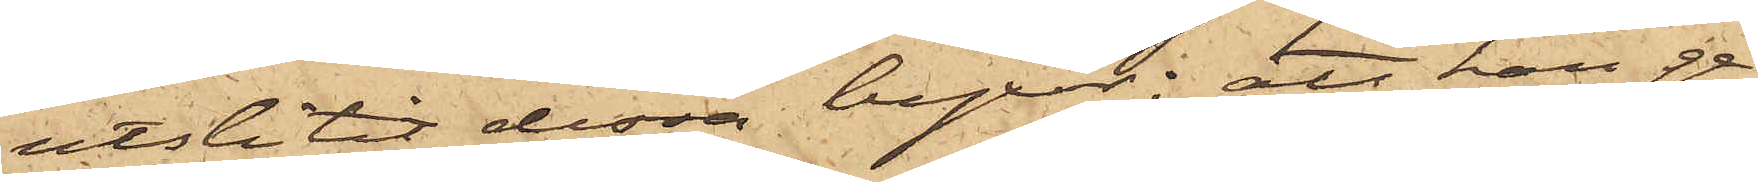utslitit dessa byxor; att han ge¬
